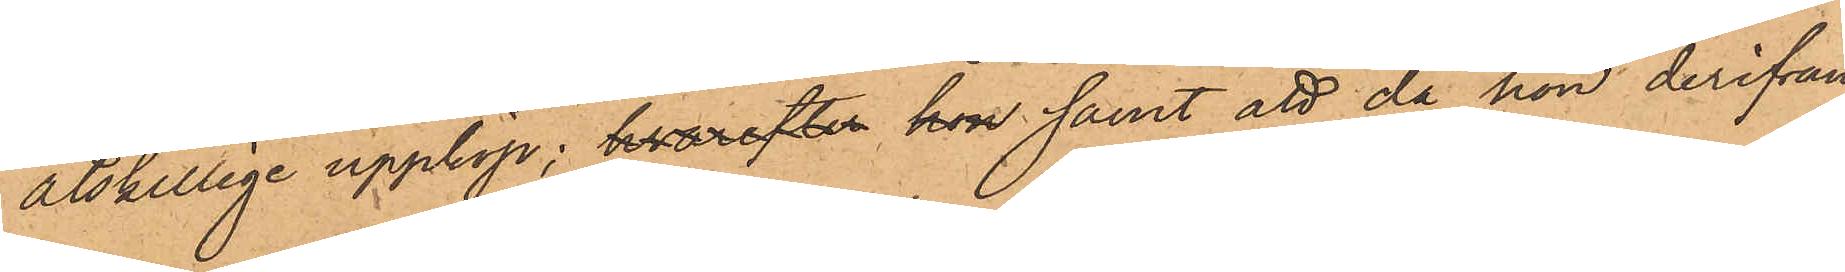åtskillige uppköp; hvarefter hon samt att då hon derifrån
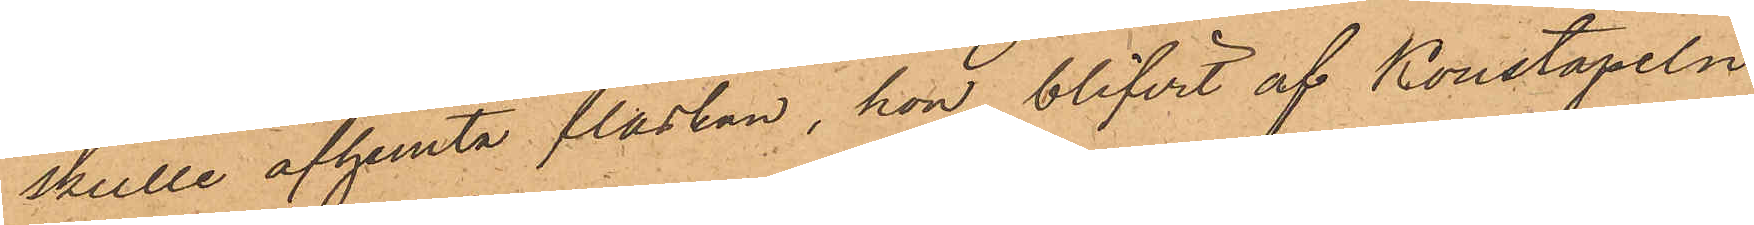skulle afhemta flaskan, hon blifvit af Konstapeln
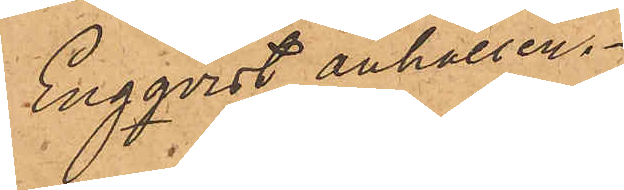Engqvist anhållen.
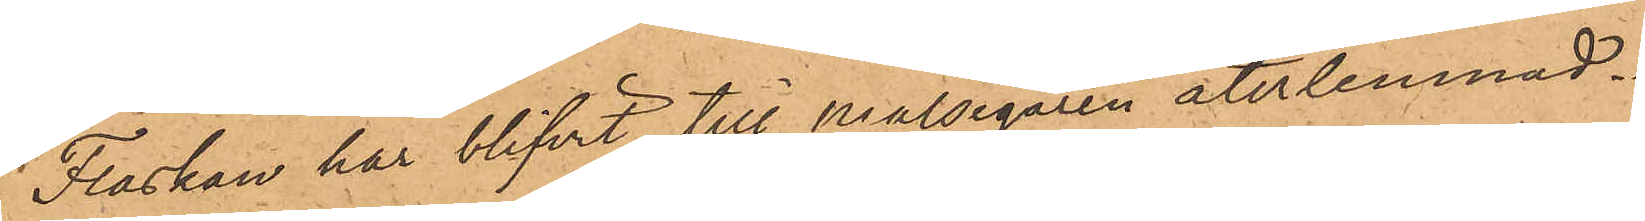Flaskan har blifvit till Målsegaren återlemnad.
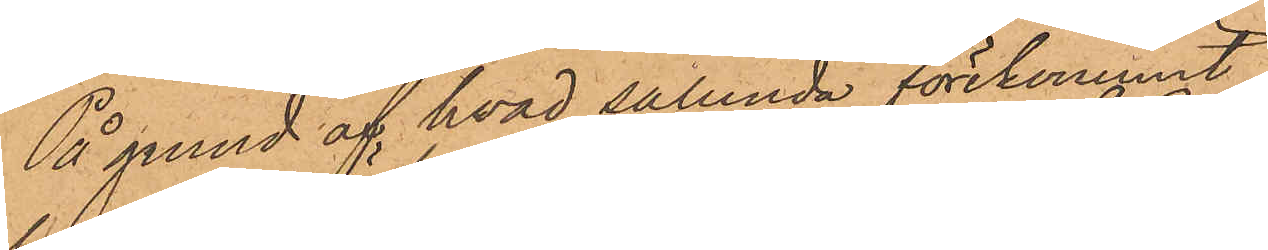På grund af hvad sålunda förekommit
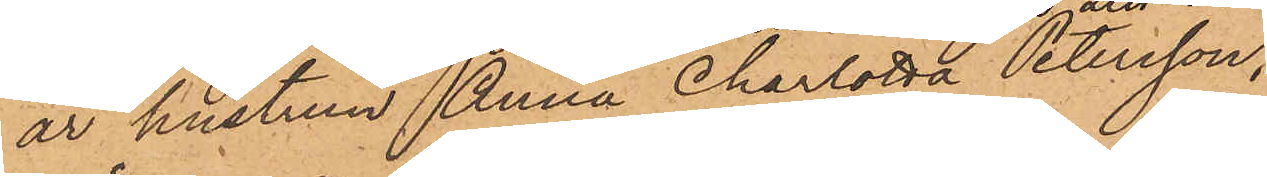är hustrun Anna Charlotta Petersson,
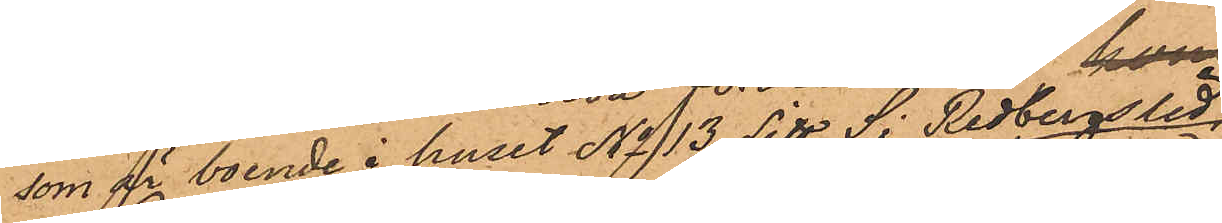som är boende i huset No 13 Litt S i Redbergslid,
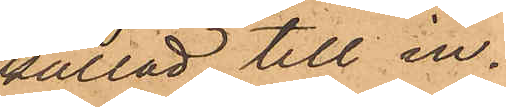kallad till in¬
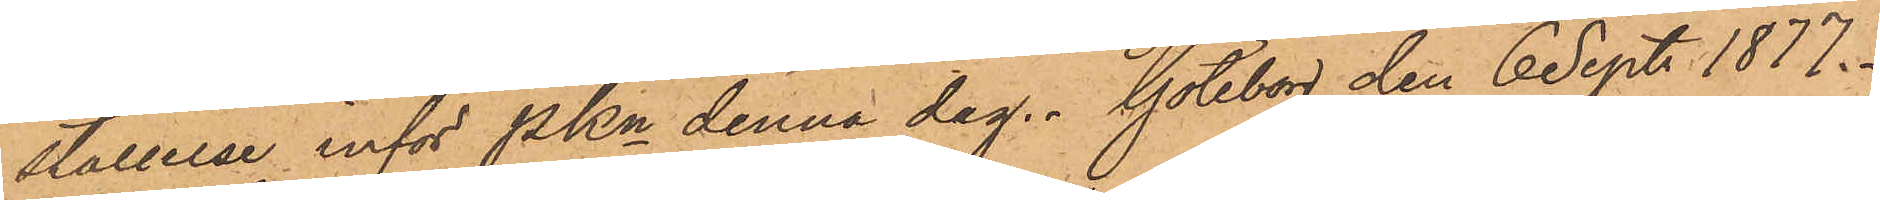ställelse inför Pkn denna dag. Göteborg den 6 Sept. 1877.
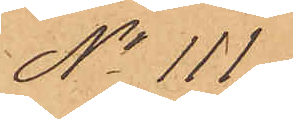No 111
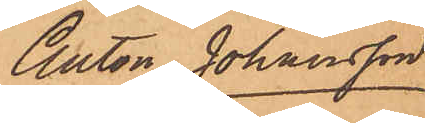Anton Johansson
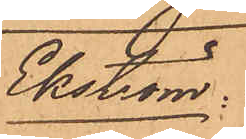Ekström.
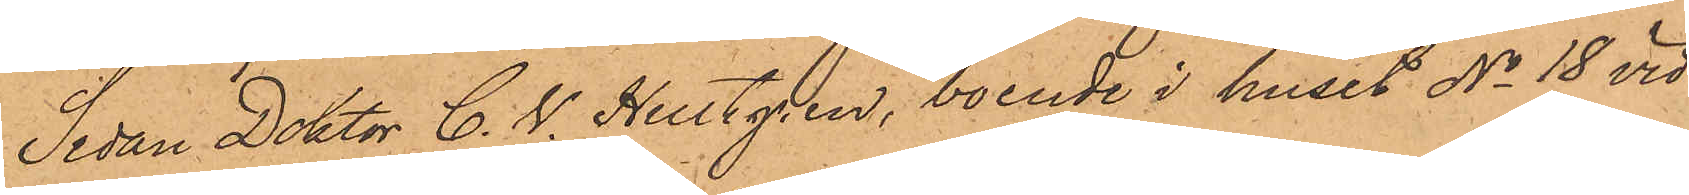Sedan Doktor C. W. Hultgren, boende i huset No 18 vid
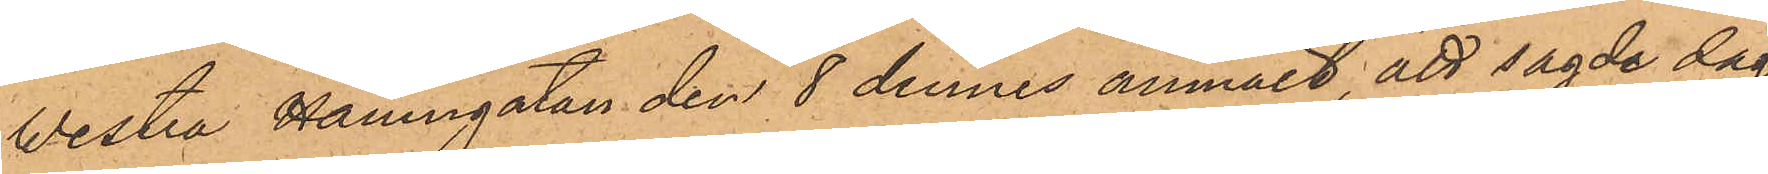Westra Hamngatan den 8 dennes anmält, att sagde dag
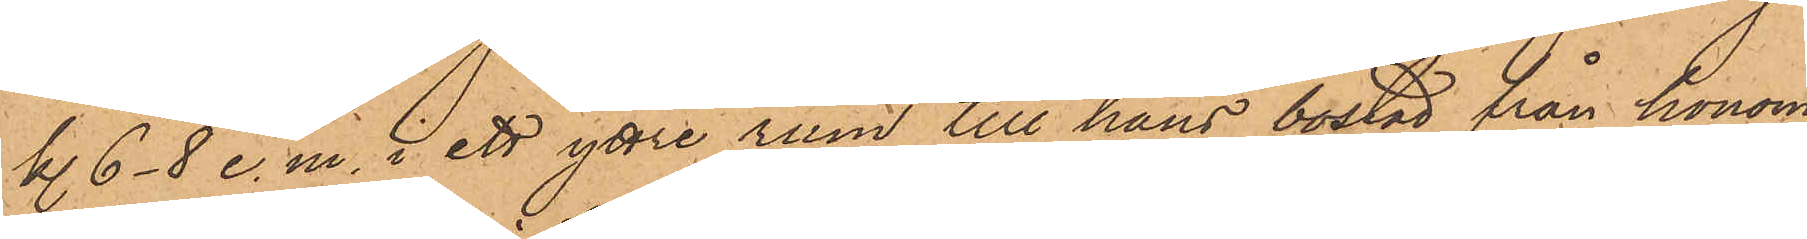kl. 6-8 e. m. i ett yttre rum till hans bostad från honom
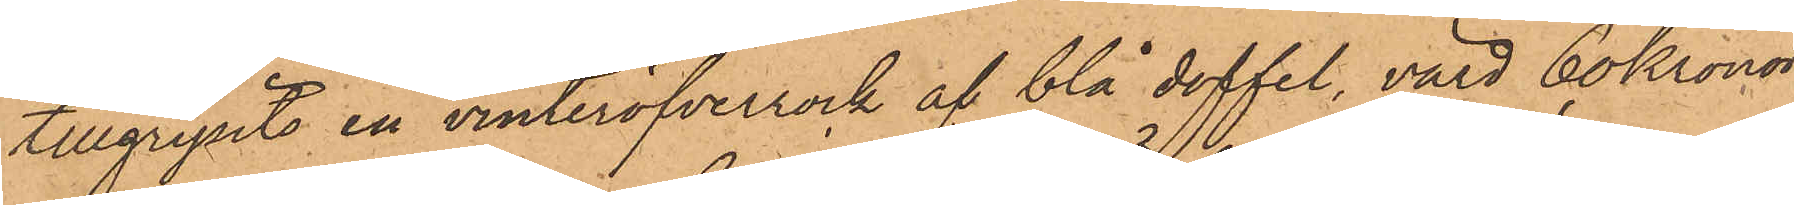tillgripits en vinteröfverrock af blå doffel, värd 60 kronor,
